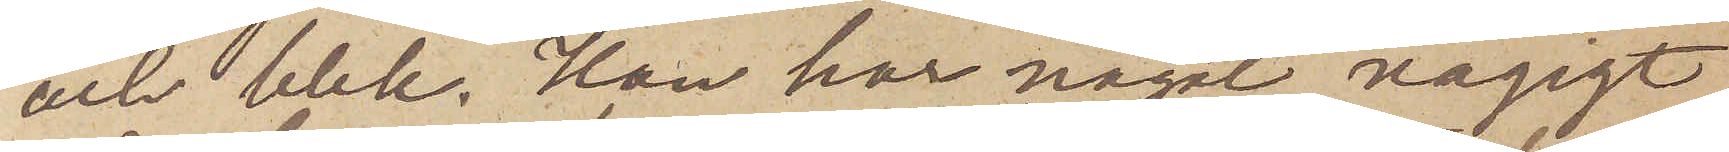och blek. Han har något vågigt
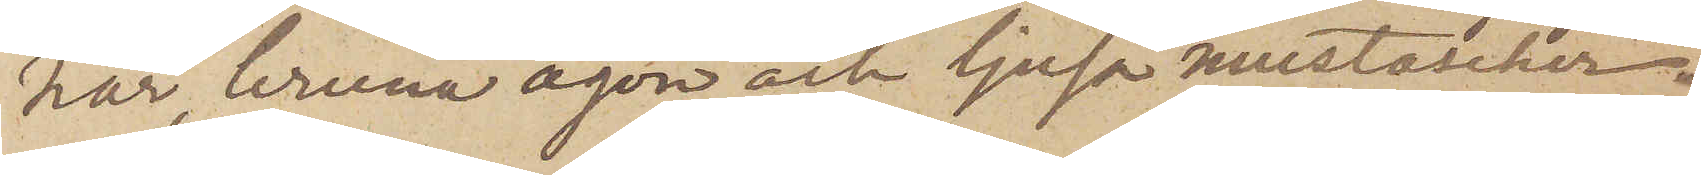hår, bruna ögon och ljusa mustascher.
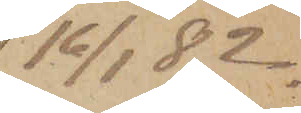16/1   82.
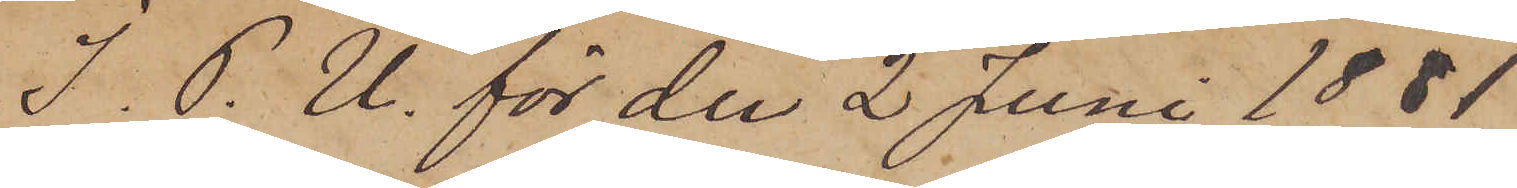I. P.U. för den 2 Juni 1881
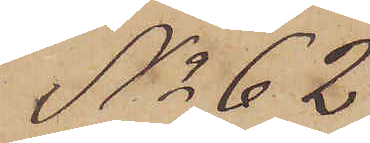No 62
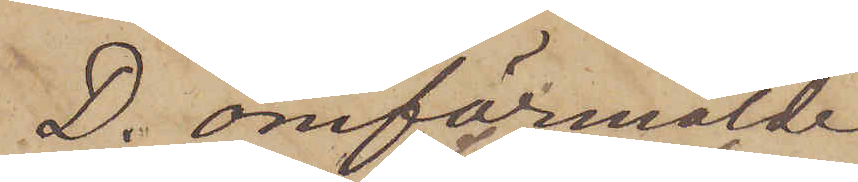D. omförmälde
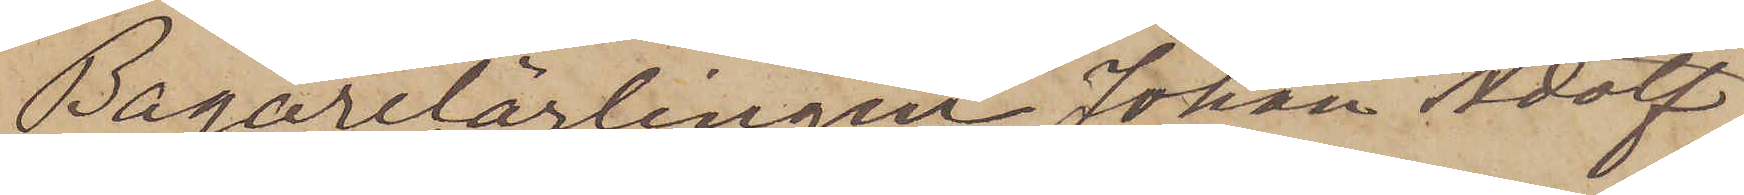Bagarelärlingen Johan Adolf
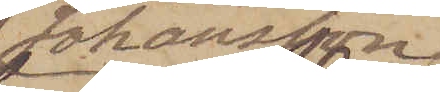Johansson
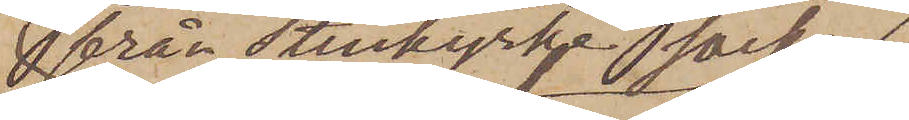från Stenkyrke socken
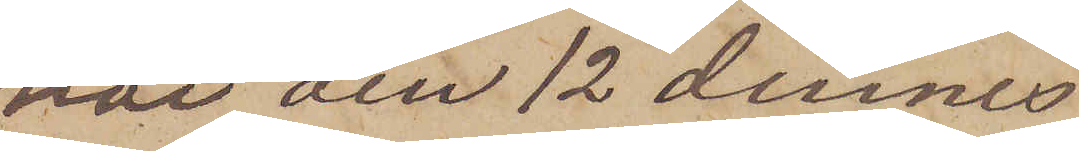har den 12 dennes
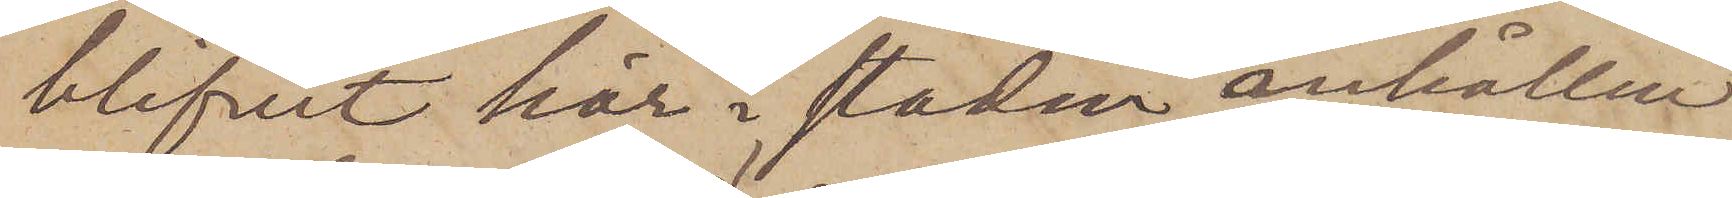blifvit här i staden anhållen
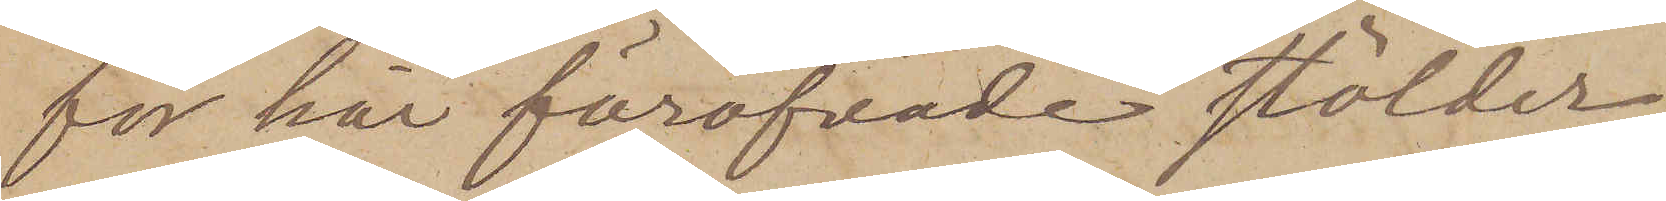för här föröfvade stölder.
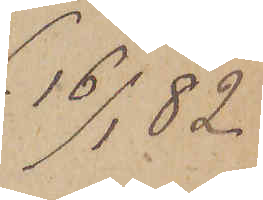16/1  82.
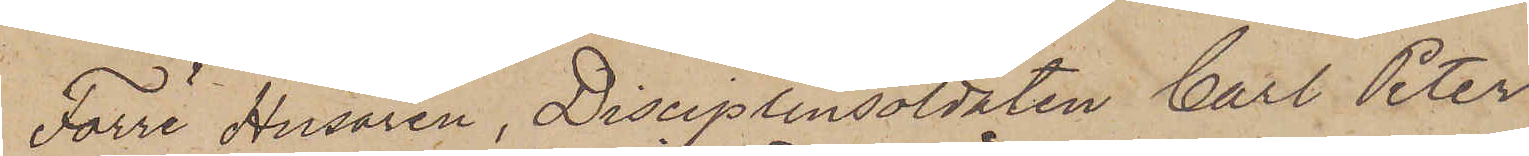Förre Husaren, Disciplinsoldaten Carl Peter
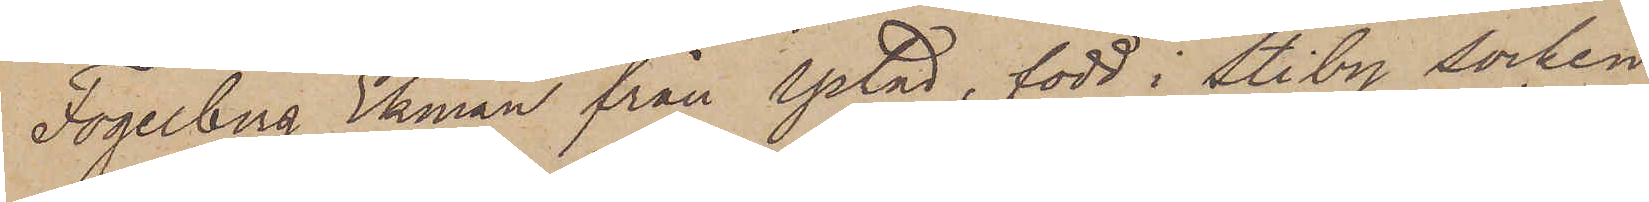Fogelberg Ekman från Ystad, född i Stiby Socken
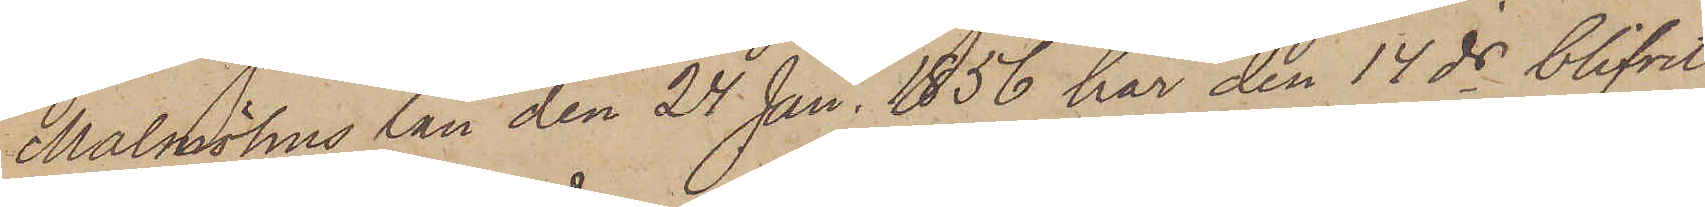Malmöhus län den 24 Jan. 1856 har den 14 ds blifvit
